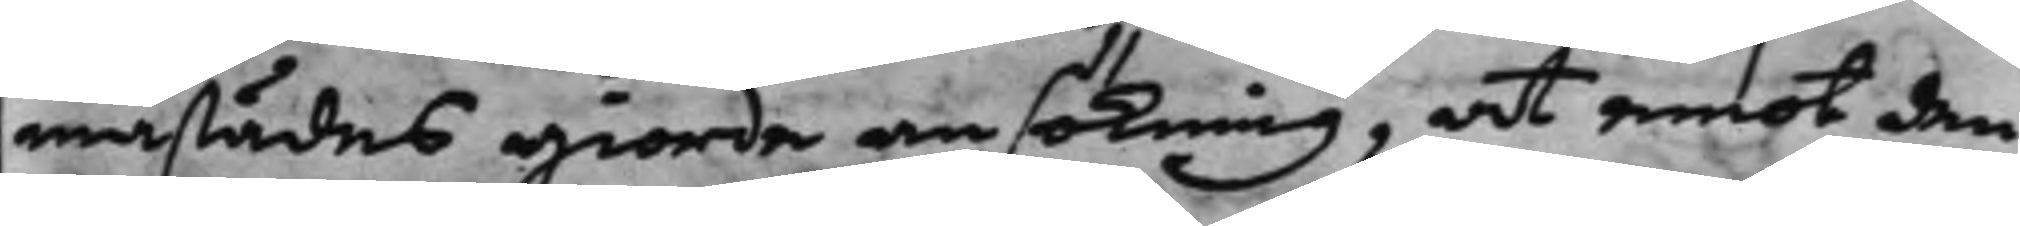mastädes giorde ansökning, at emot den
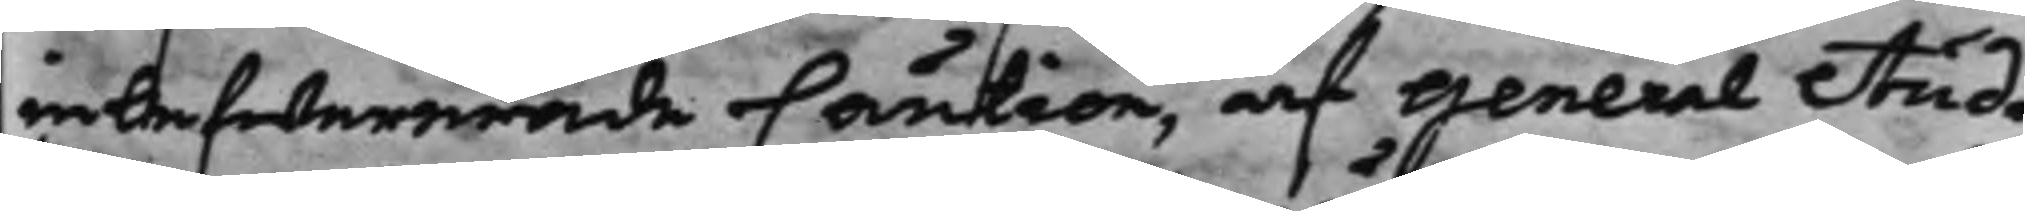inlefwererade Caution, af General Audi¬
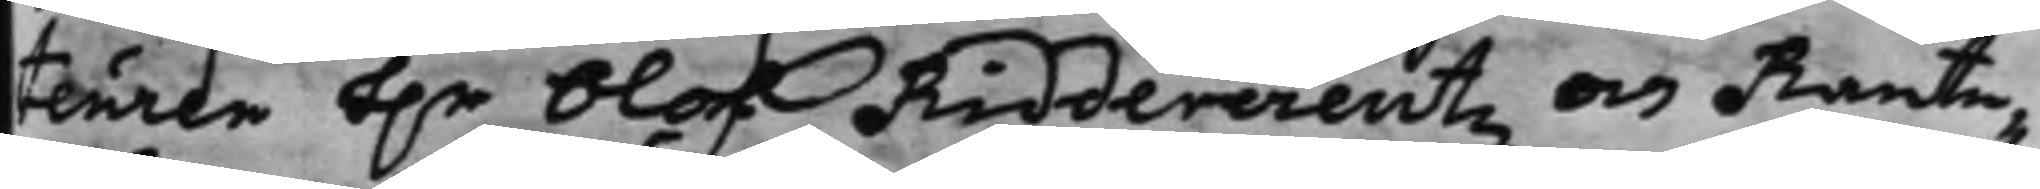teuren h.r Olof Riddercreutz och Rante¬
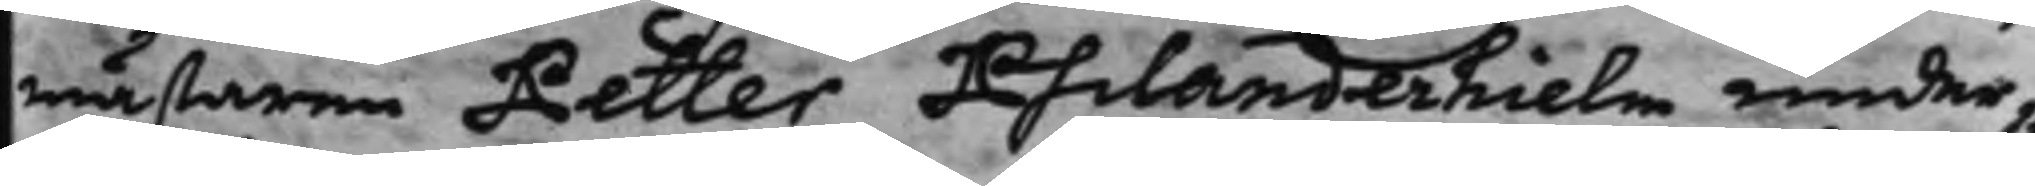mästaren Petter Philanderhielm under¬
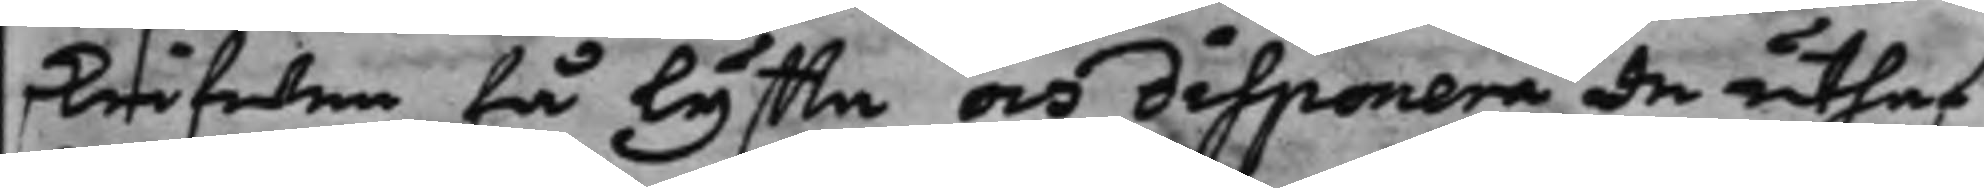skrifwen få lyffta och disponera de uthaf
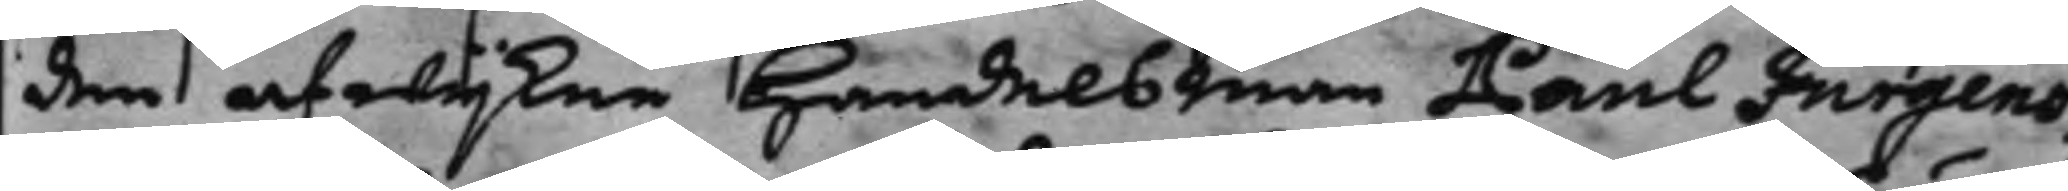den afwijkne Handelsman Paul Jurgens¬
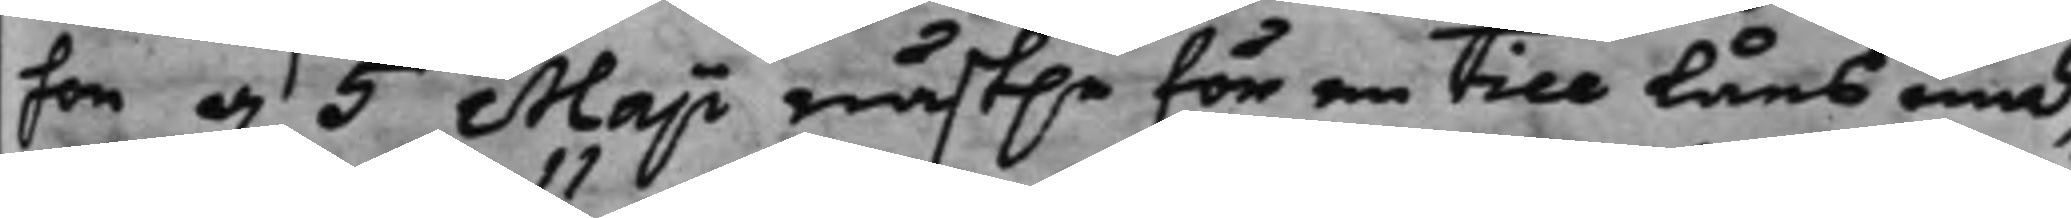son d. 5 Maji näst.e för en till låns und¬
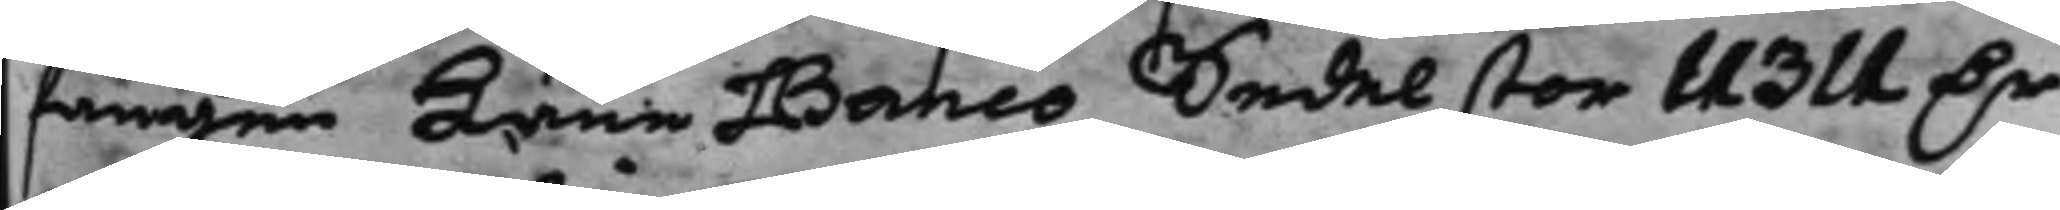fången Läne Banco Sedel stor 11311 D.r
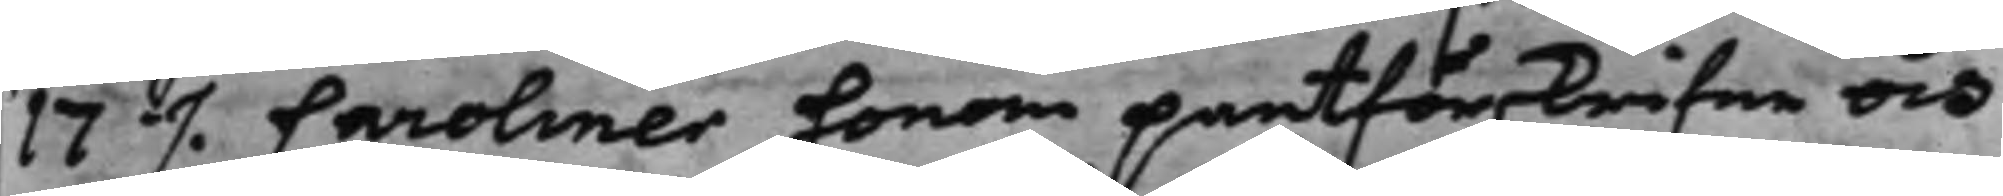17 ./. Caroliner honom pantförskrifne och
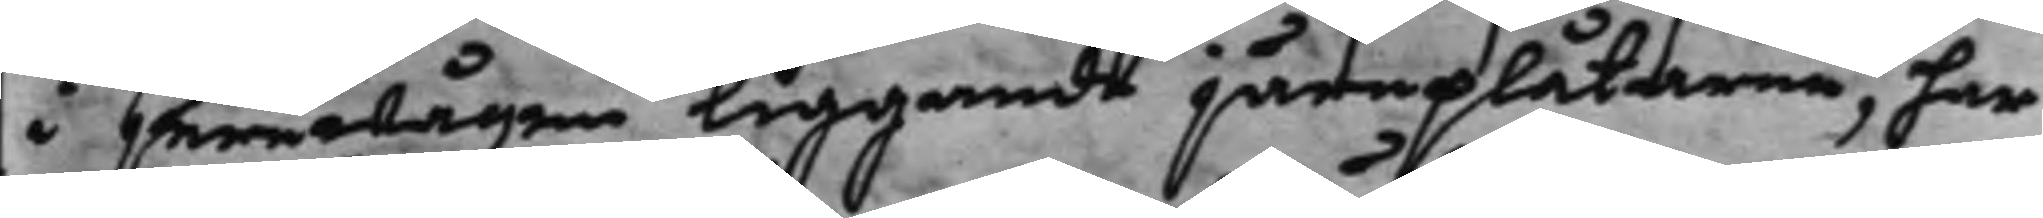i jernwågen liggande järnplåtarne, har
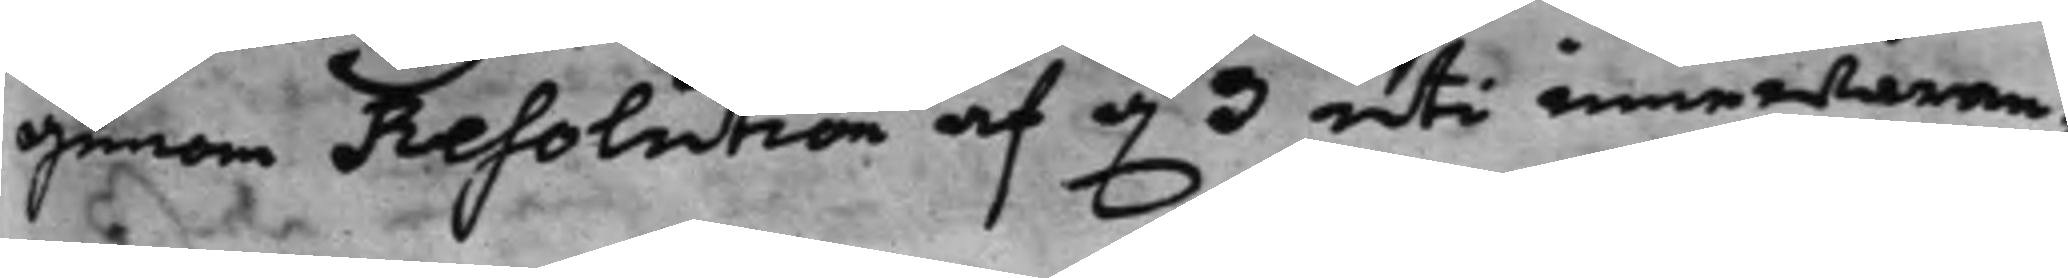genom Resolution af d. 3 uti innewaran¬
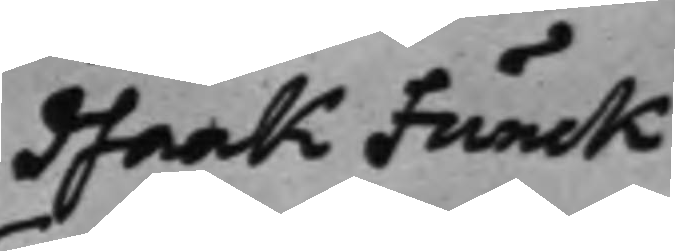Isaak Funck
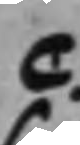c.
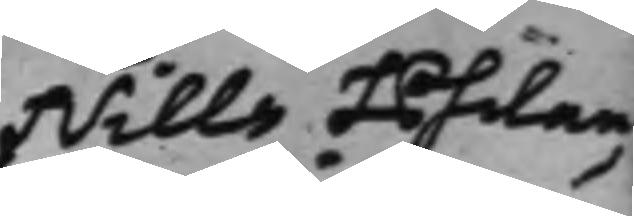Nills Philan¬
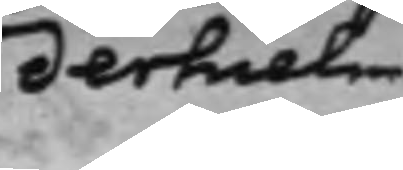derhielm
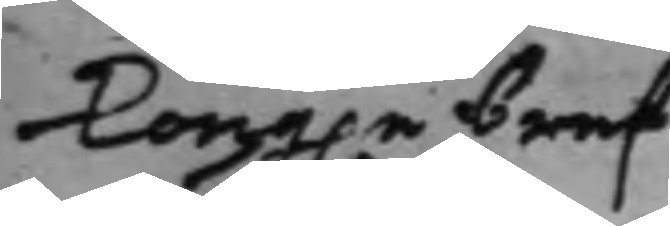Kong.e bref
